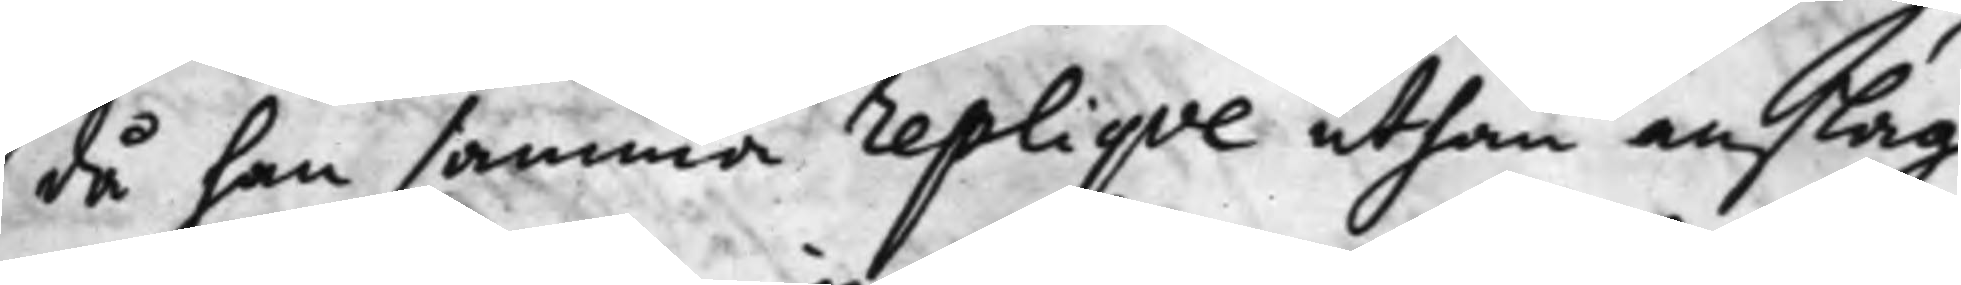då han samma repliqve uthan anslag
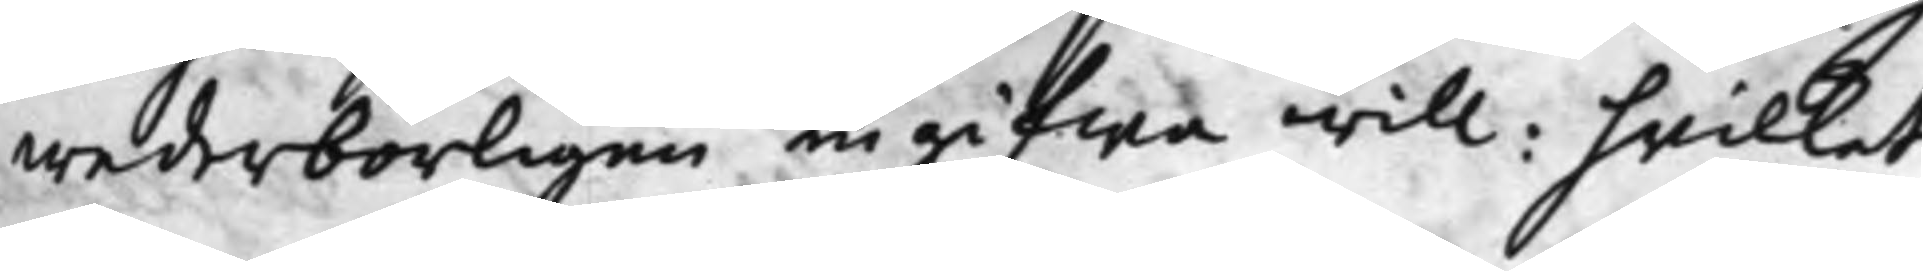wederbörligen ingifwa will: hvilket
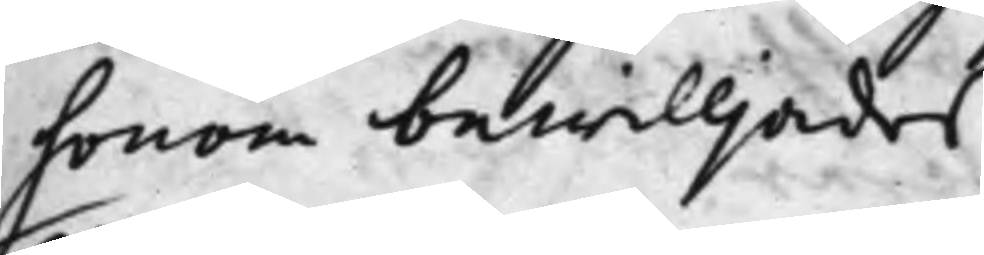honom bewilljades
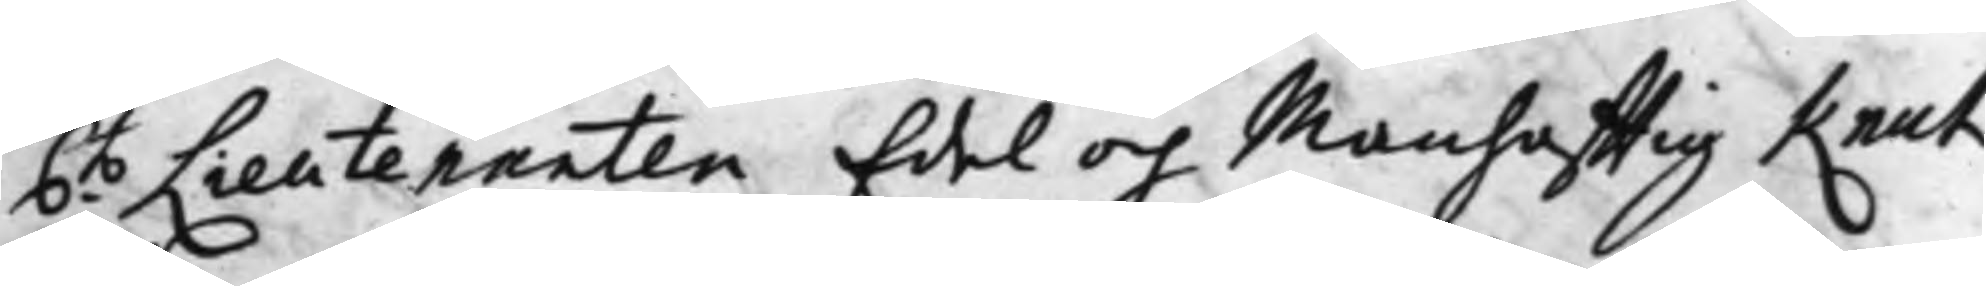6.to Lieutenanten Edel och Manhafftig Knut
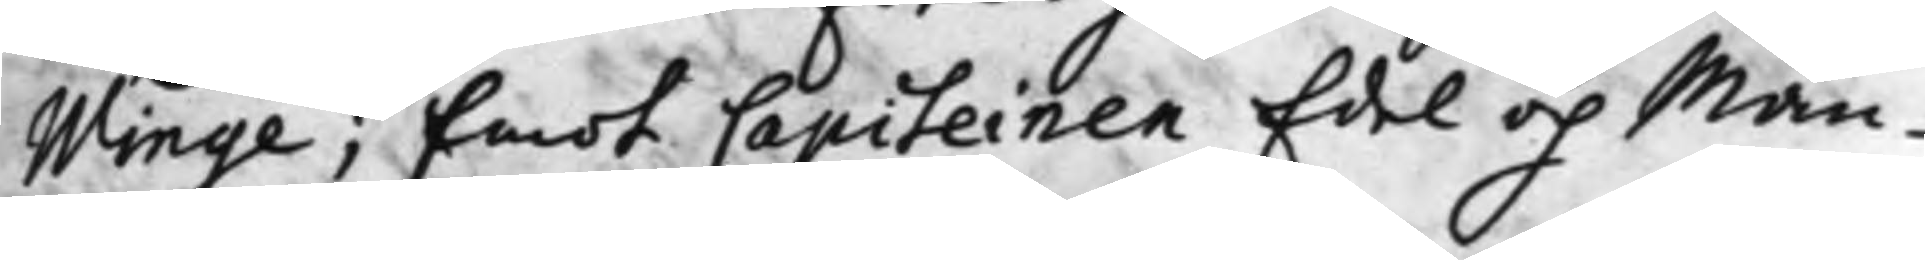Winge; Emot Capiteinen Edel och Man¬
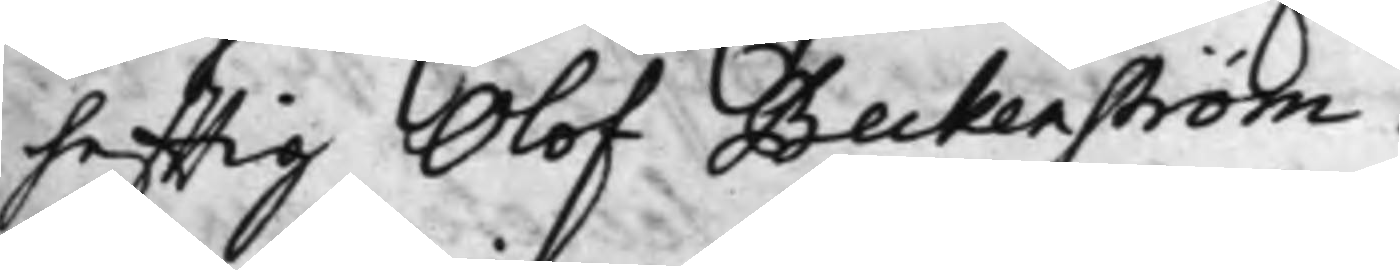hafftig Olof Beckenström.
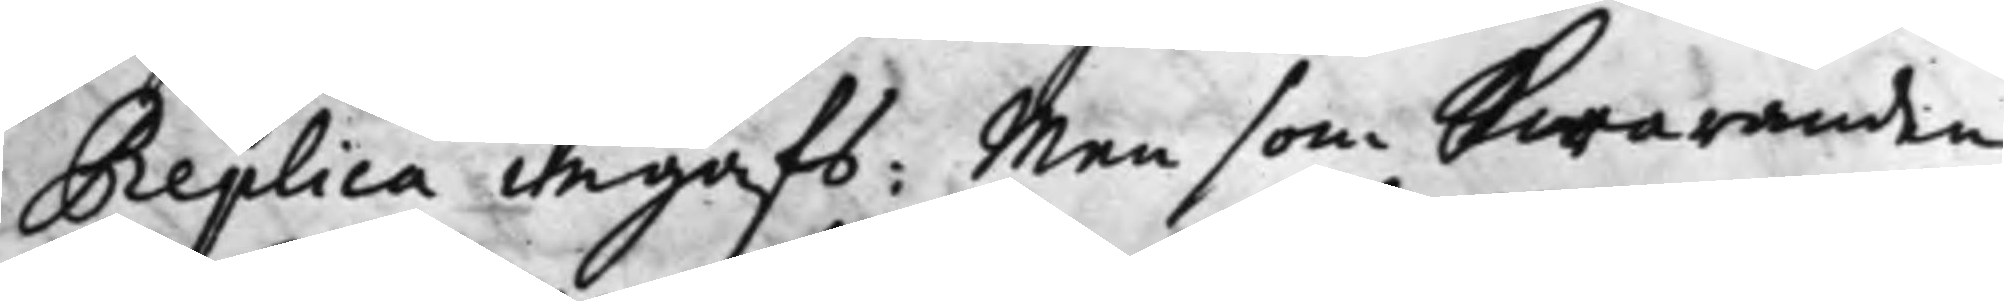Replica ingafs: Men som Swaranden
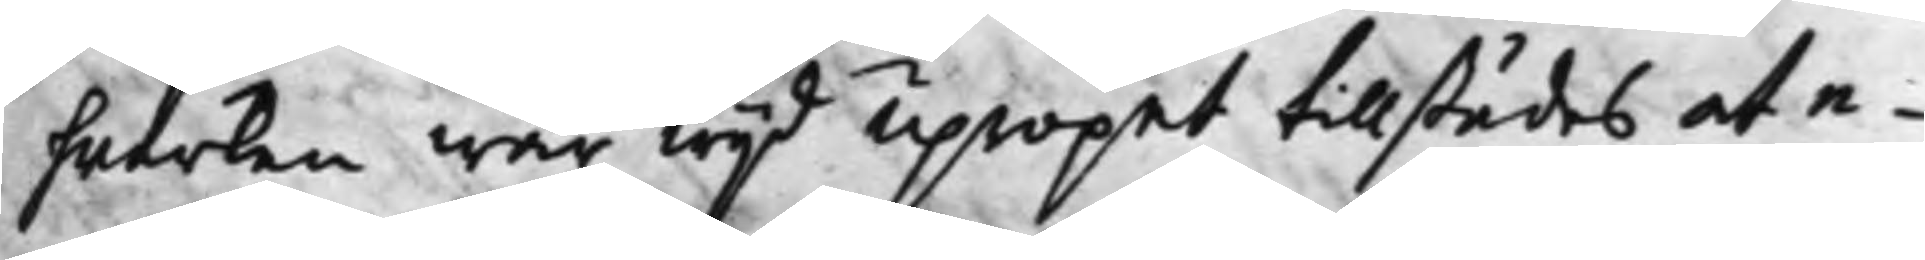hwarken war wijd Upropet tillstädes at e¬
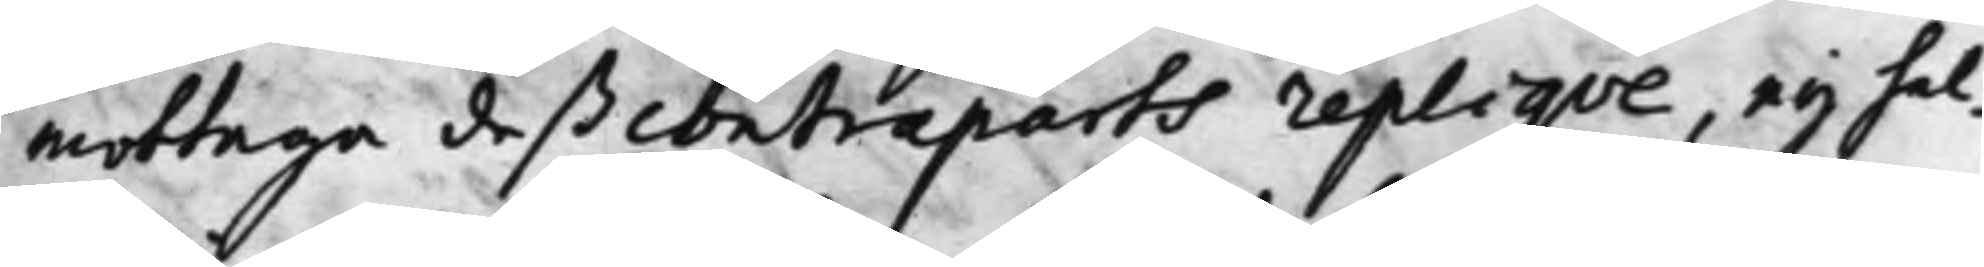mottaga deß contraparts repliqve, ey hel¬
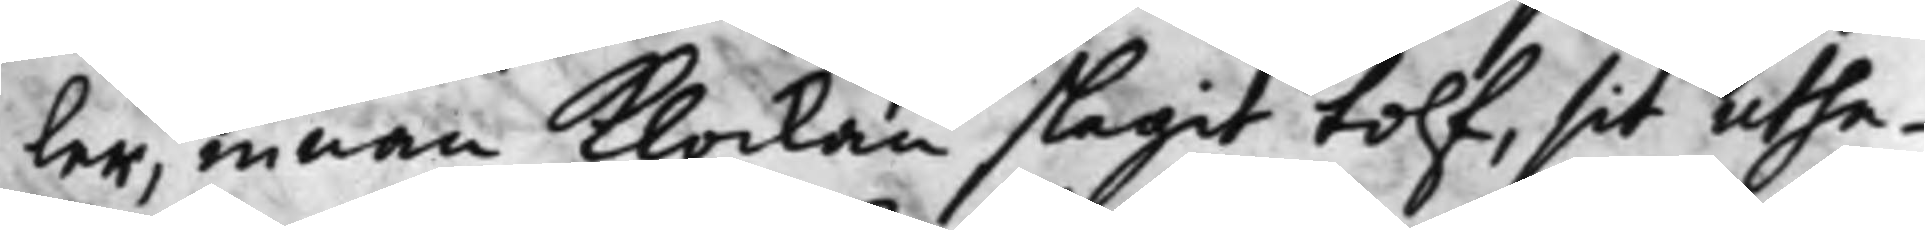ler, innan Klockan slagit tolf, sit uthe¬
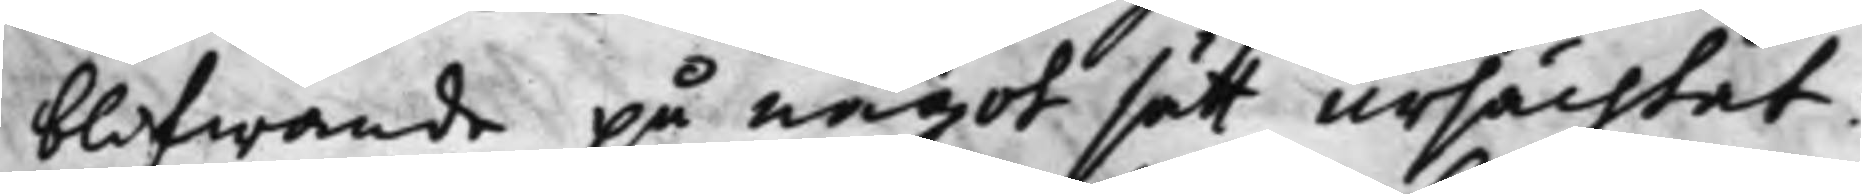blifwande på något sätt ursächtat:
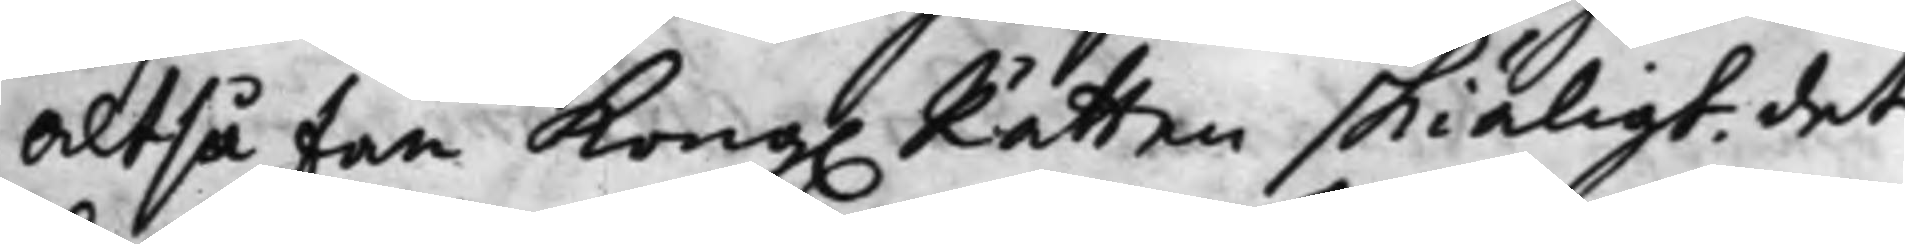Altså fan Kong. Rätten skiäligt det
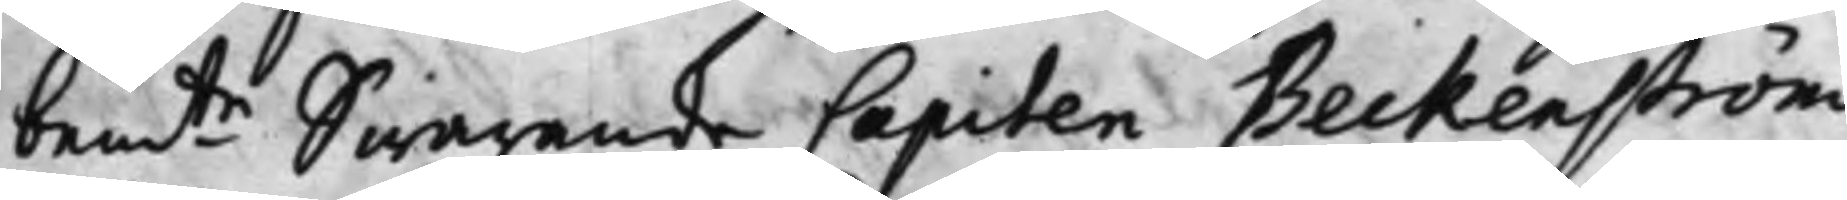bem.te Swarande Capiten Beckenström
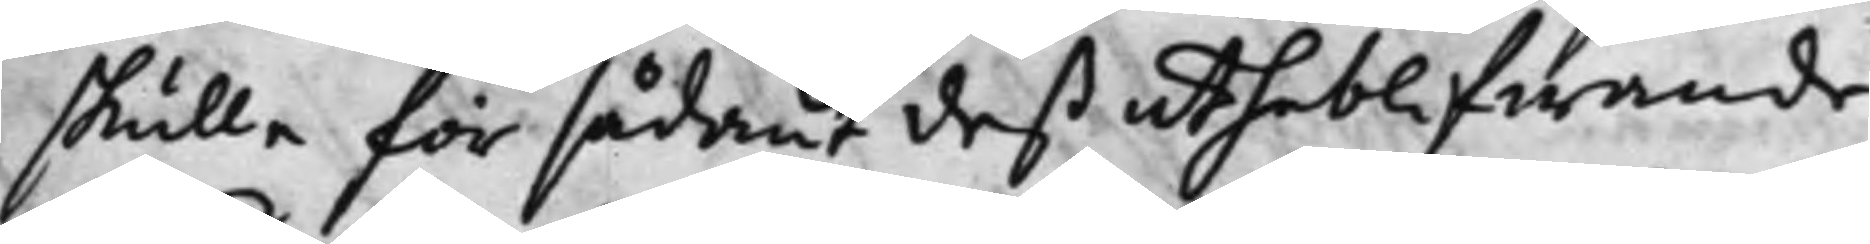skulle för sådant deß utheblifwande
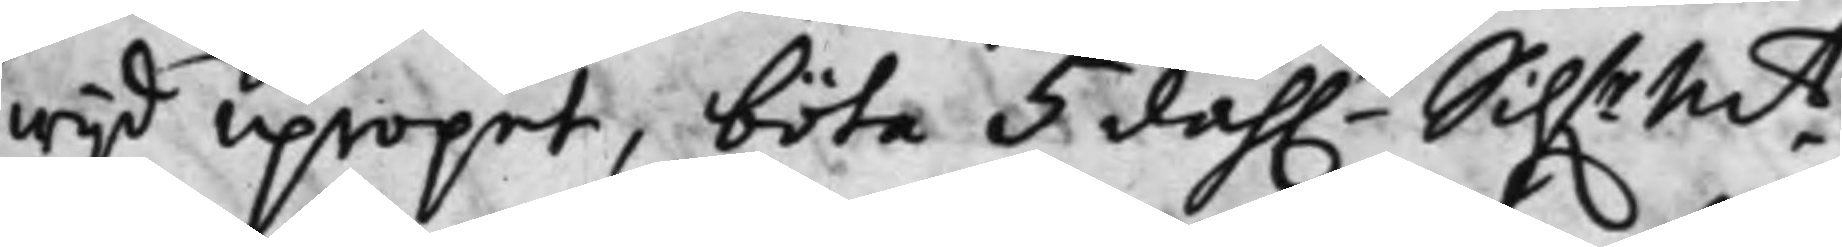wijd Upropet, böta 5 dah.r Silf.rM.t
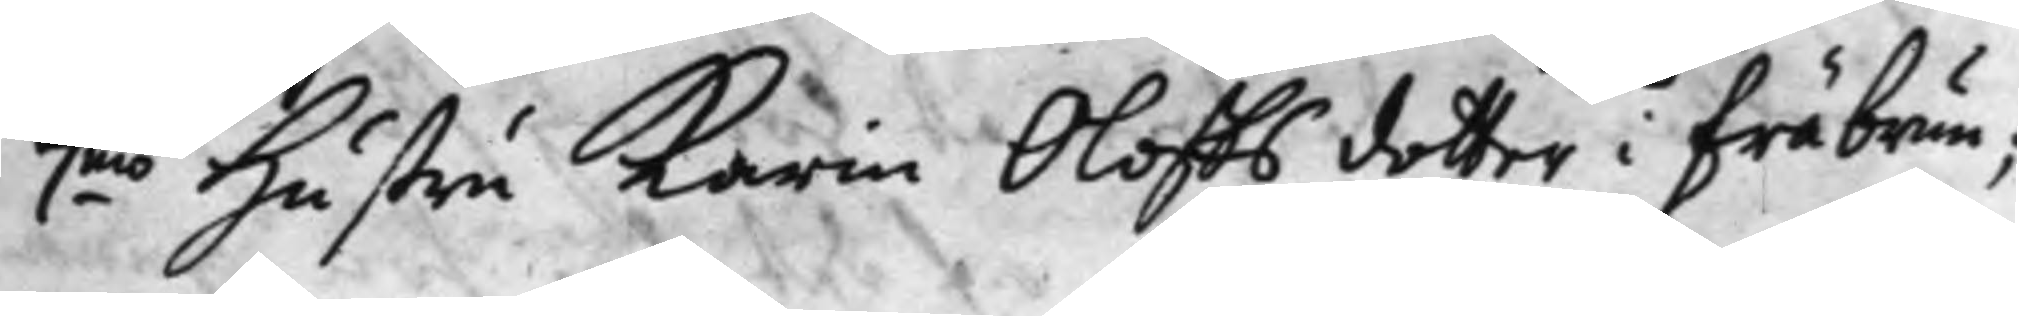7.mo Hustru Karin Oloffs dotter i Fräbrun;
